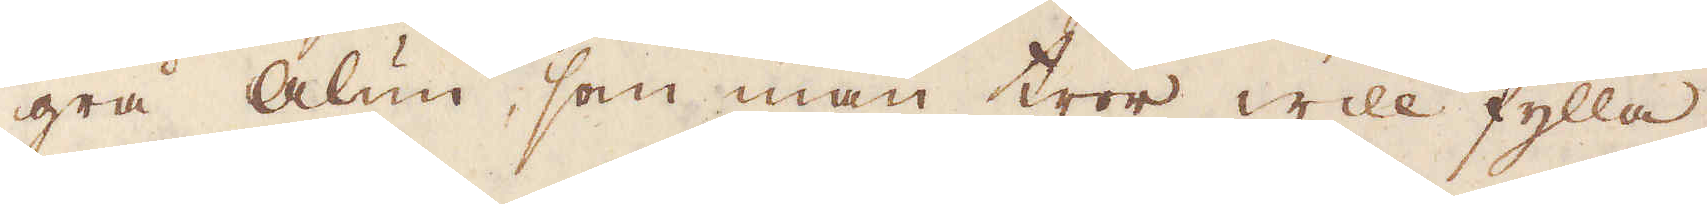grå Alun, som man tror will fylla
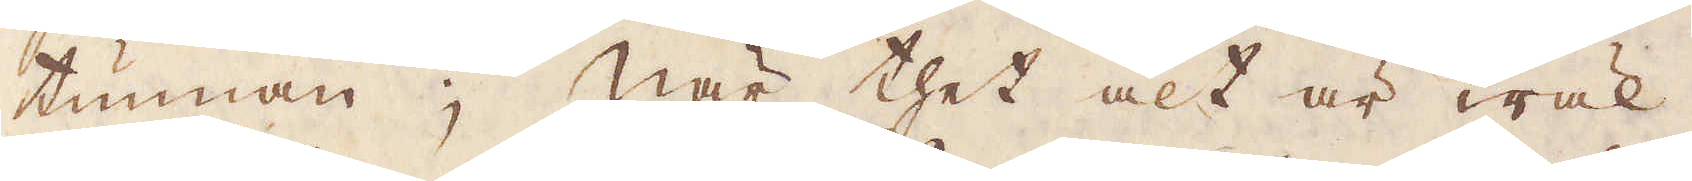tunnan; När thet alt är wäl
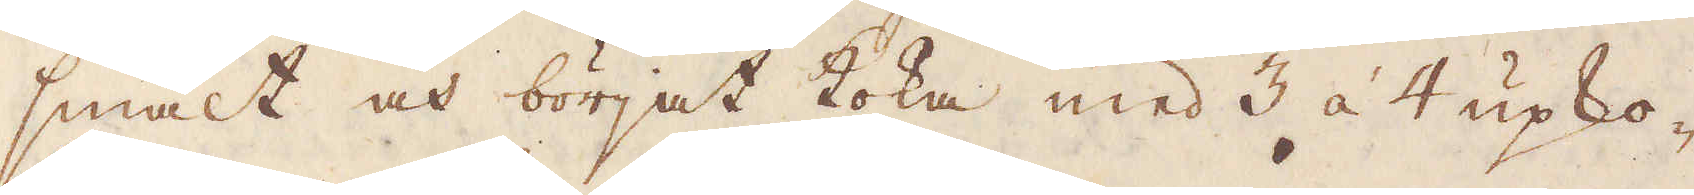smält och börjat koka med 3 à 4 upko-
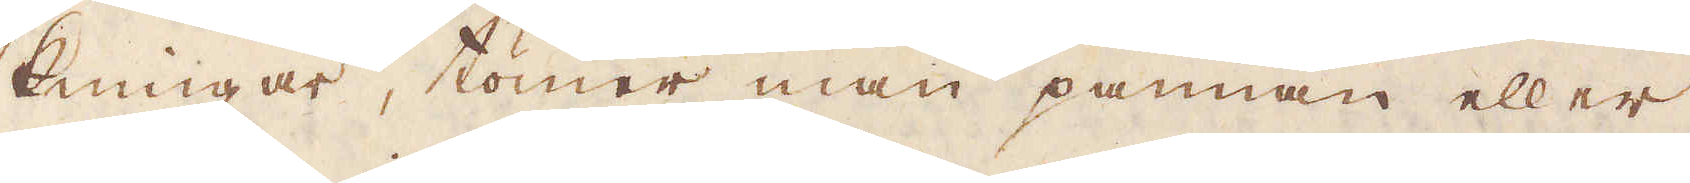kningar, tömer man pannan eller
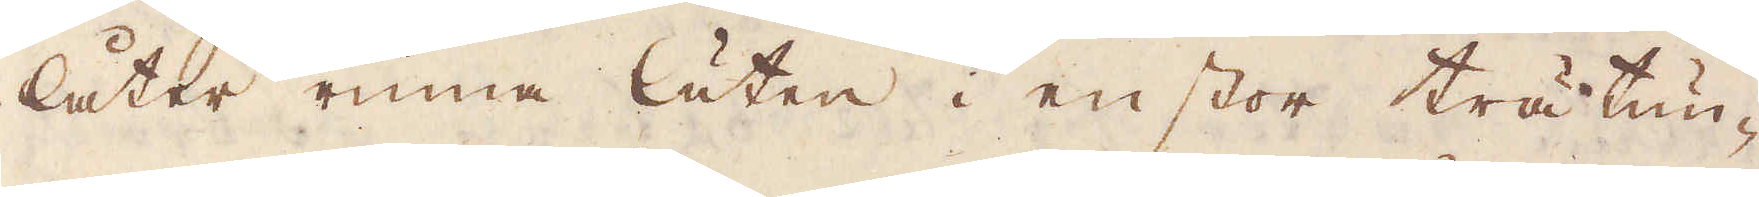låter rinna luten i en stor trätun-
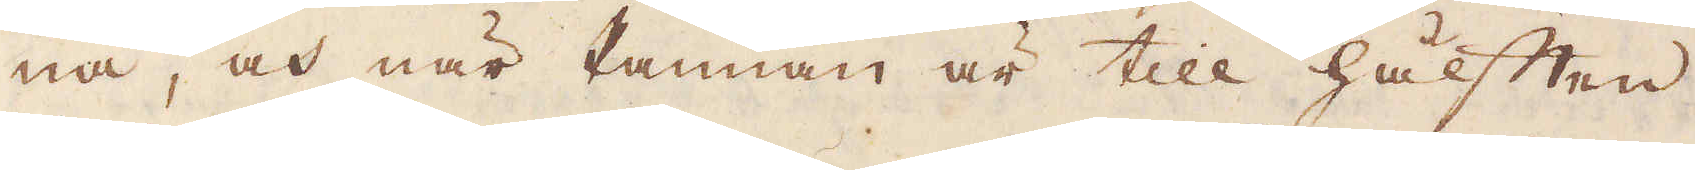na, och när Pannan är till hälften
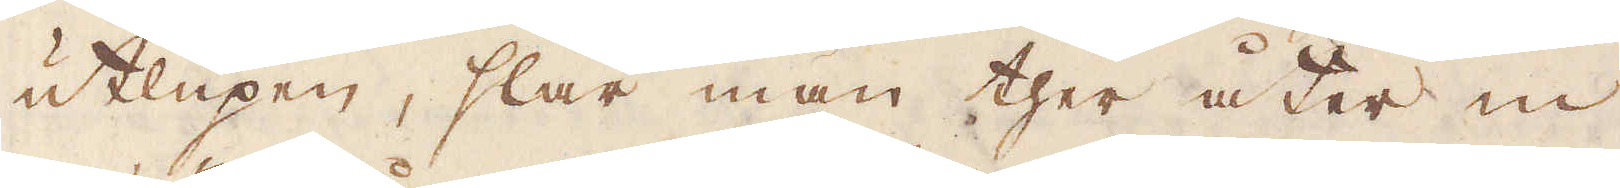utlupen, slår man ther åter in
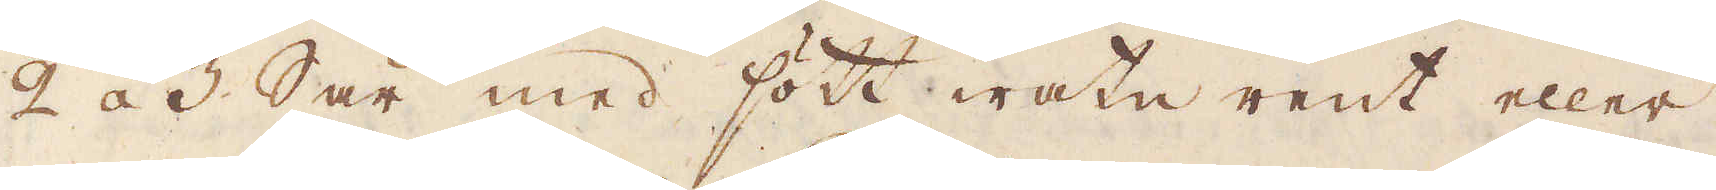2 á 3 Sår med sött watn rent eller
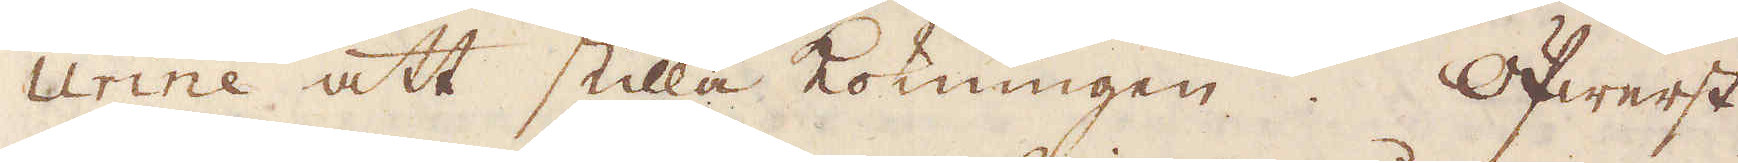urine att stilla kokningen. Öfwerst
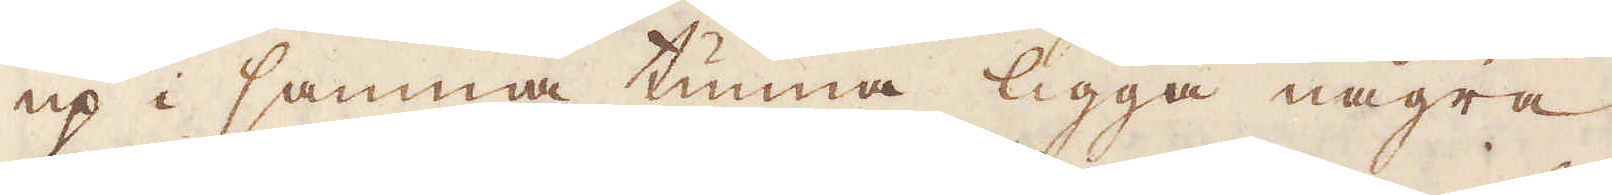up i samma tunna ligga några
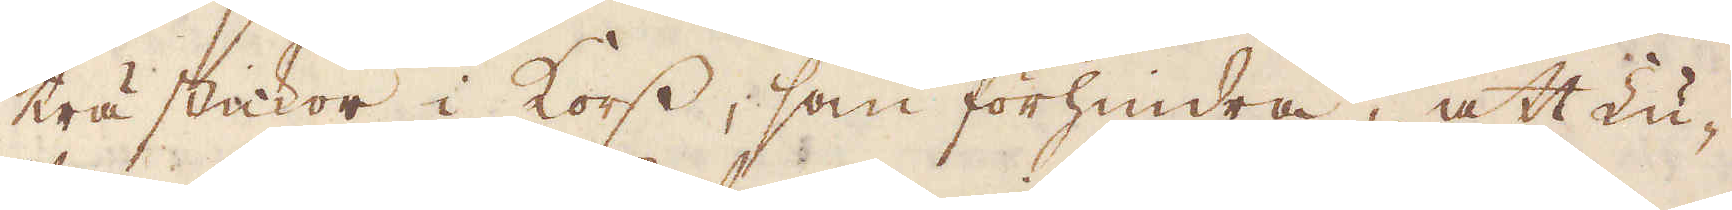trästickor i kors, som förhindra, att Lu-
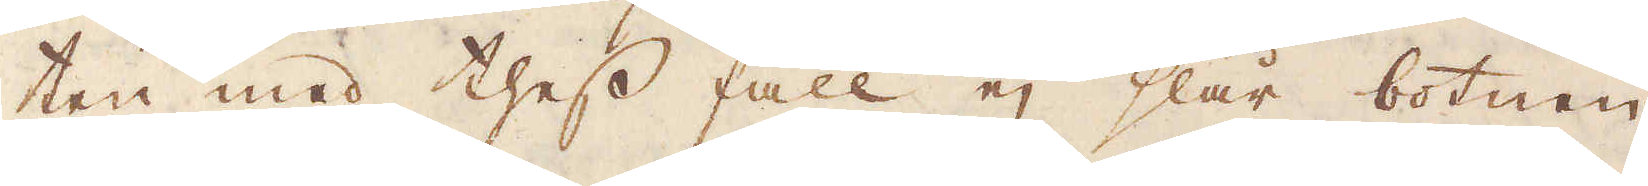ten med thess fall ej slår botnen
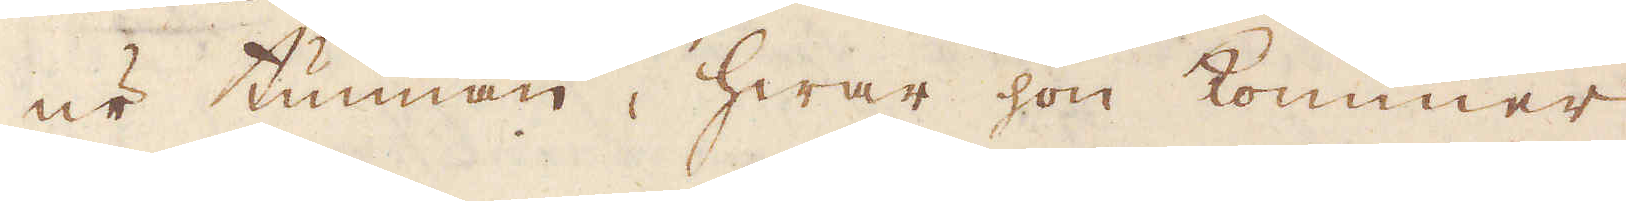ur tunnan, hwar hon kommer
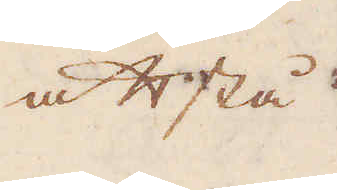att stå
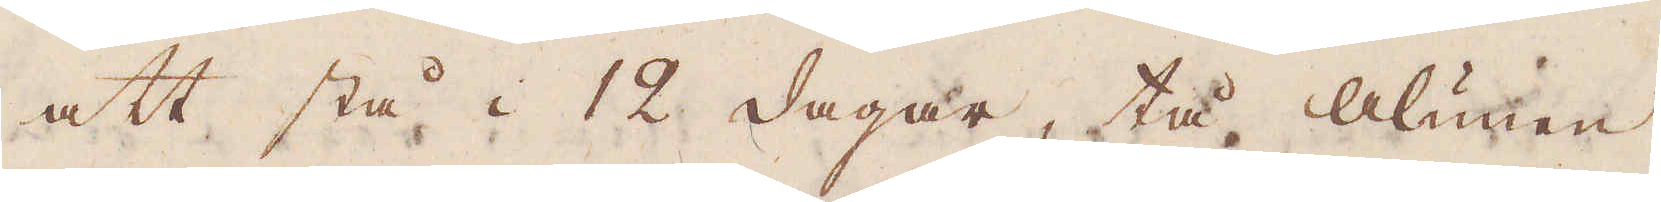att stå i 12 dagar, tå Alunen
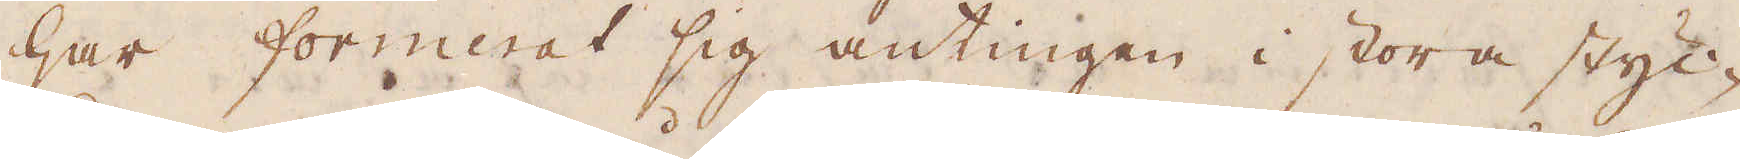har formerat sig antingen i stora styc-
